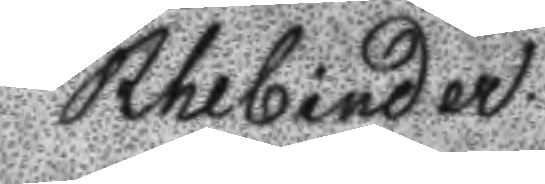Rhebinder.
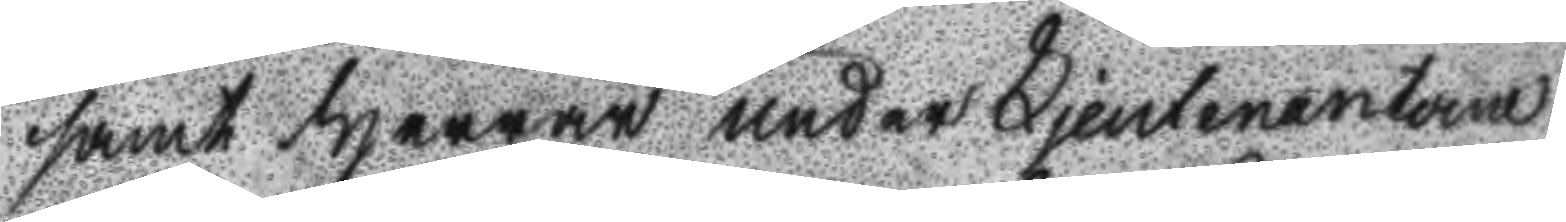samt Herrar underLjeutenantane
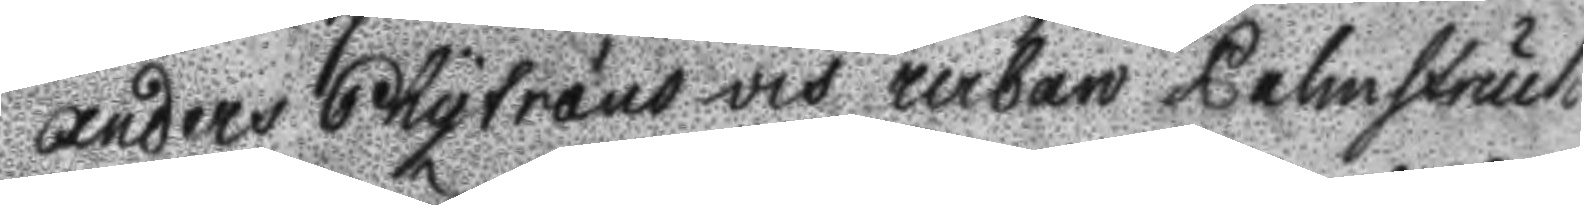Anders Skytrans och urban Palmstruch
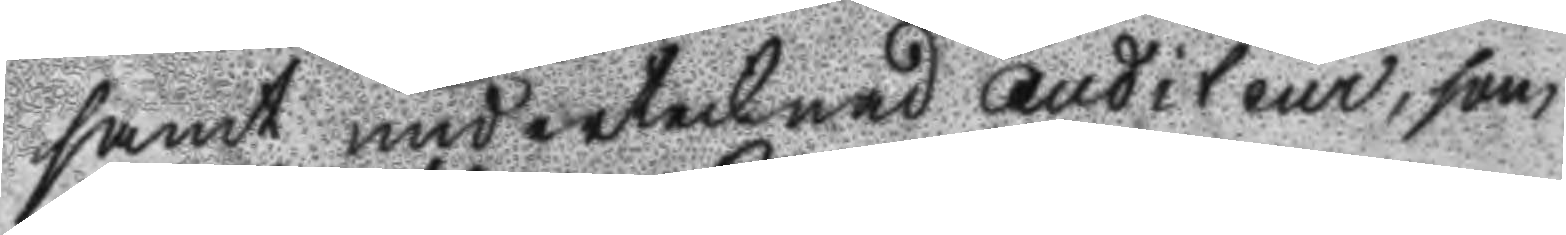samt undertecknad Auditeur, som
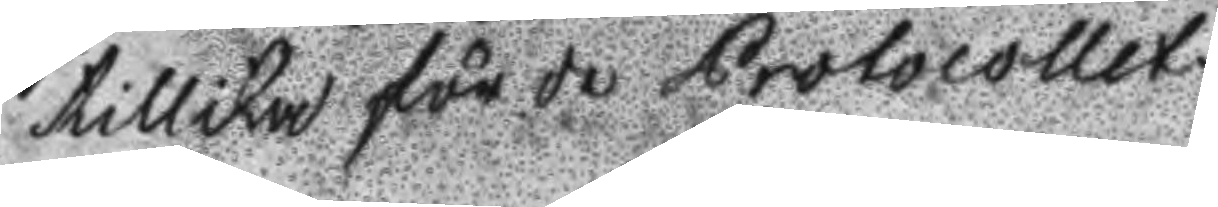tillika förde Protocollet.
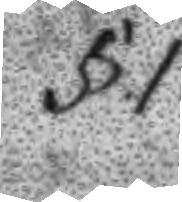1.§.
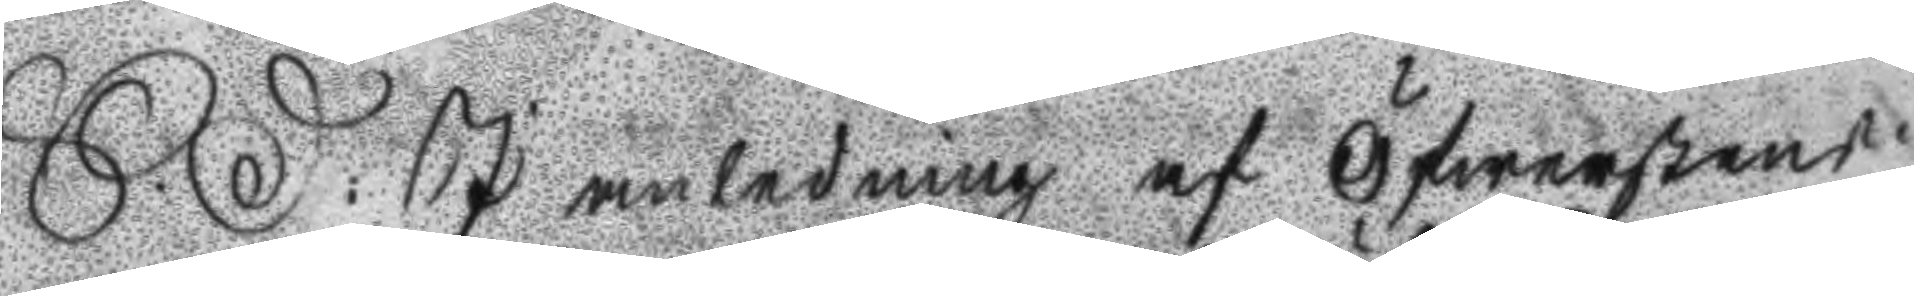S: D: I anledning af Öfwerstens
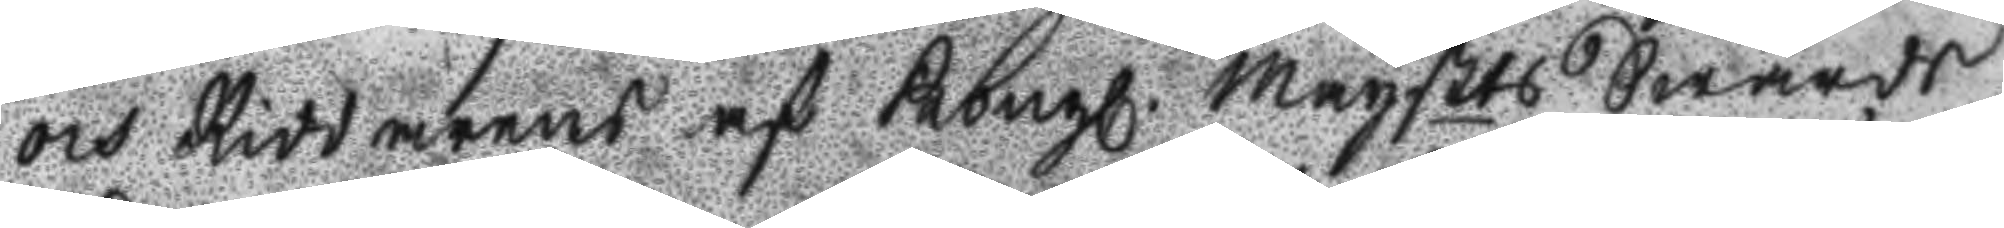och Riddarens af Kongl. Maystts Swärds
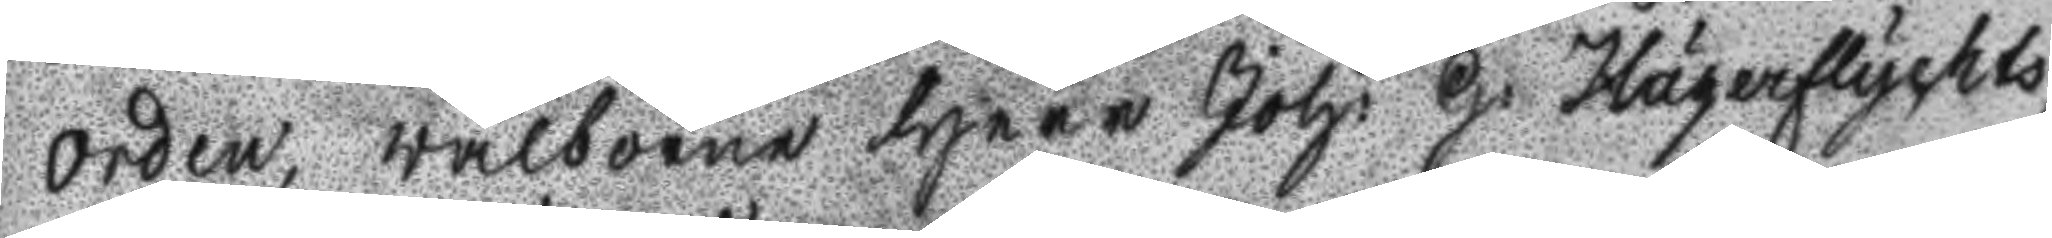Orden, wälborne Herr Joh: G: Hägerflychts
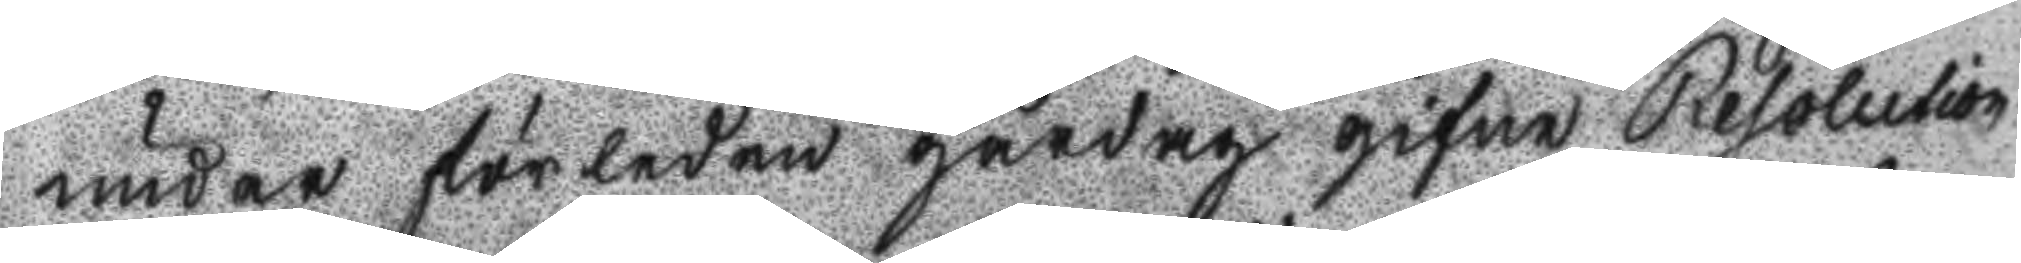under förledne gårdag gifne resolution
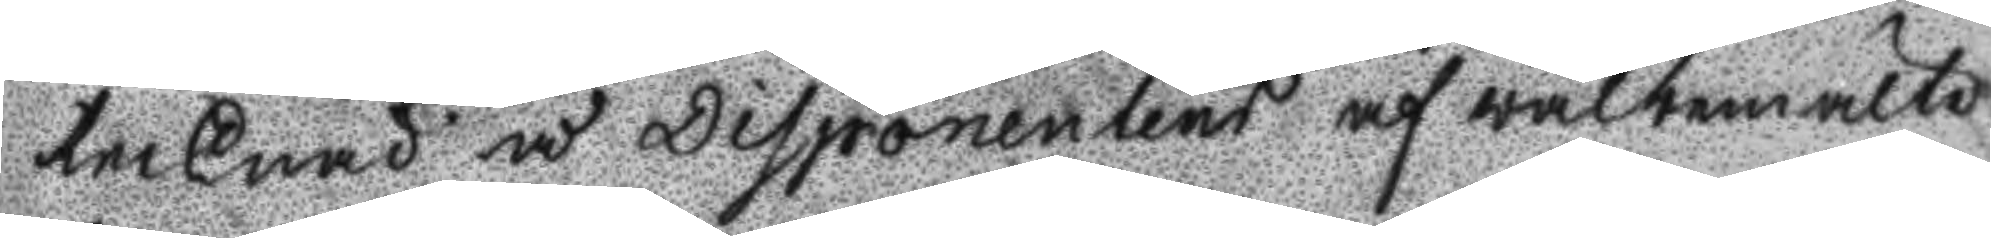tecknad å Disponentens af wälbemälte
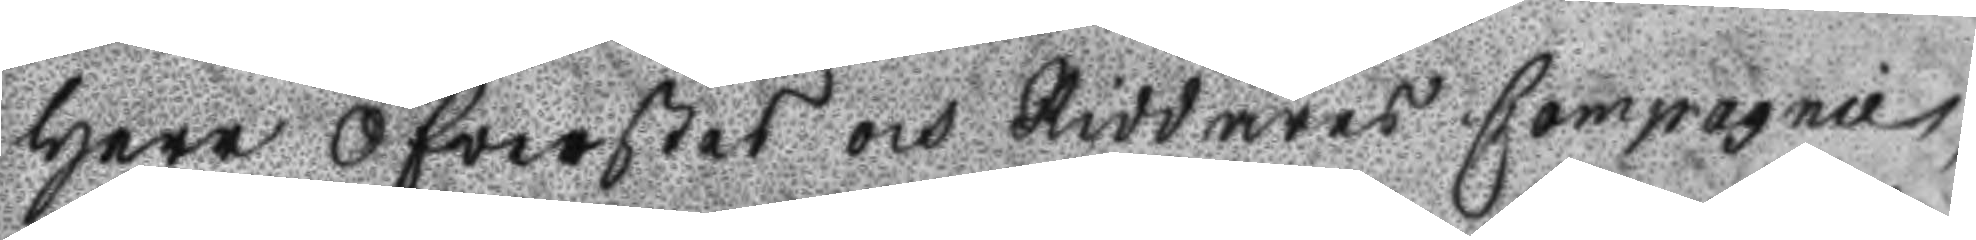Herr Öfwerstes och Riddares Compagnie,
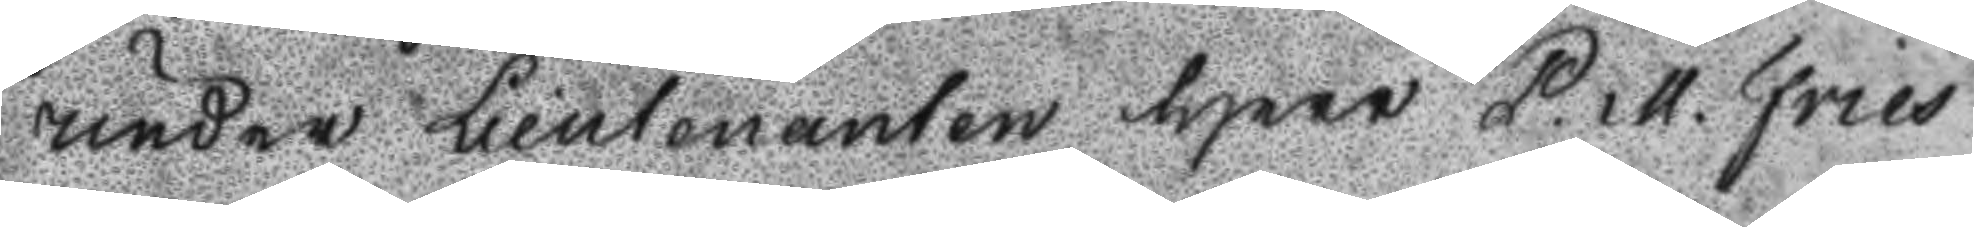under Lieutenanten Herr P. M. Fries
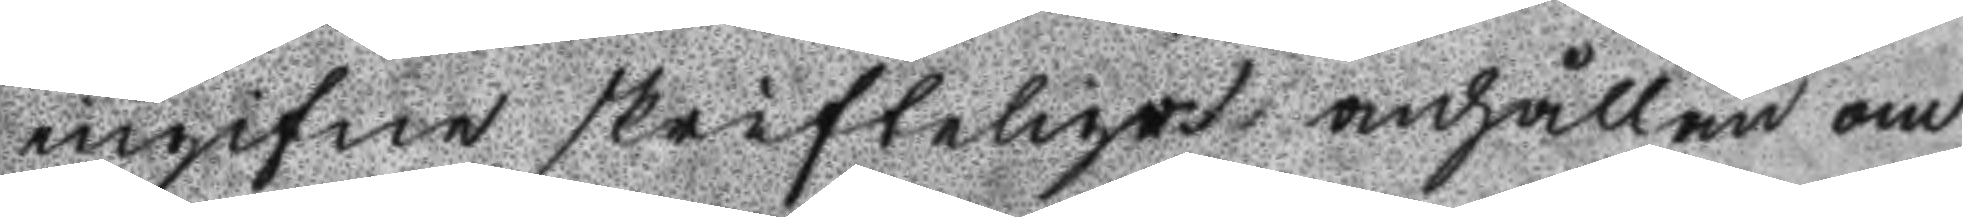ingifne skrifteliga anhållan om
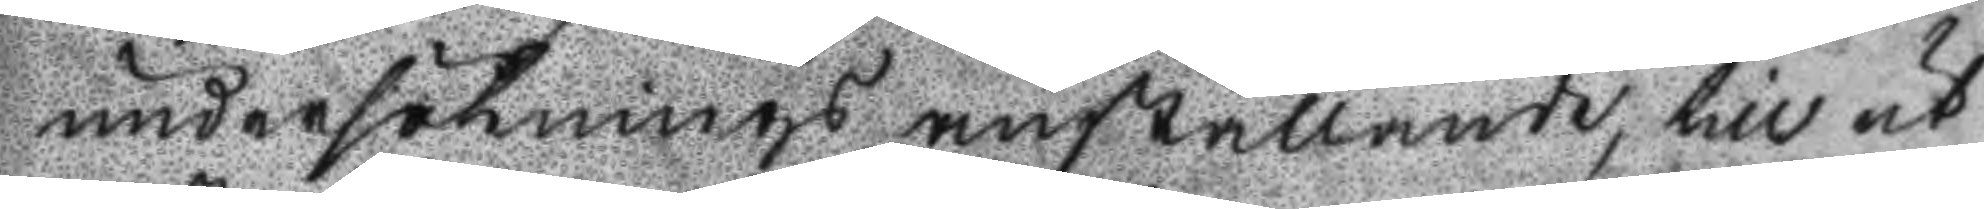undersöknings anställande, till ut
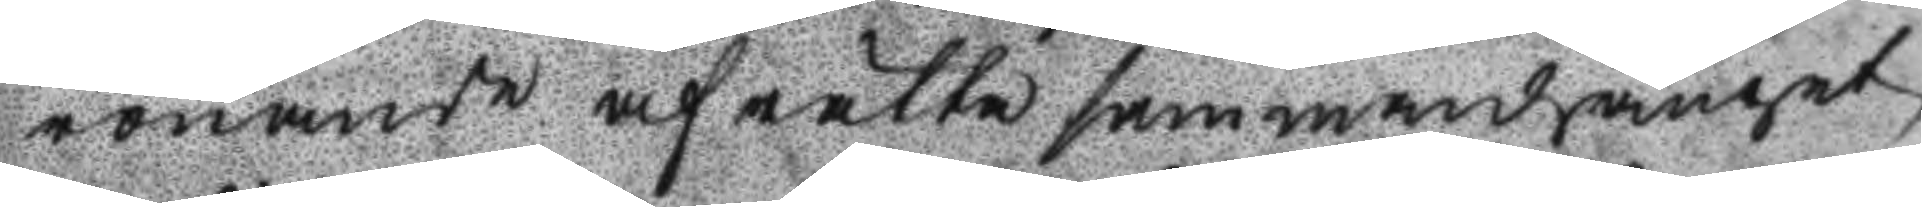rörande af rätta sammandraget
